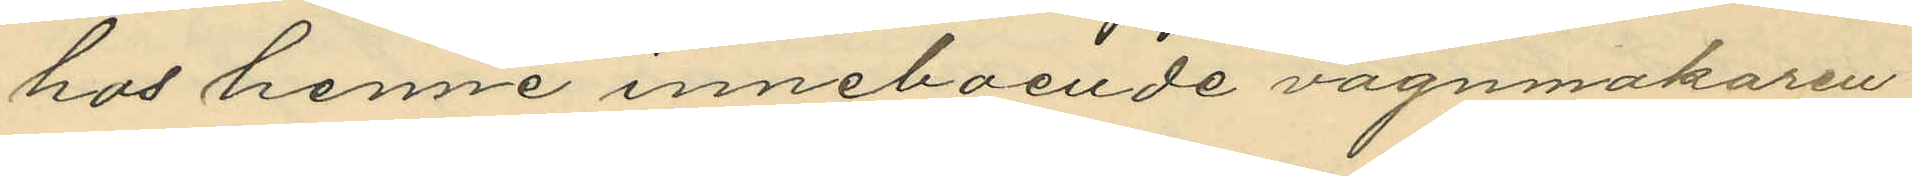hos henne inneboende vagnmakaren
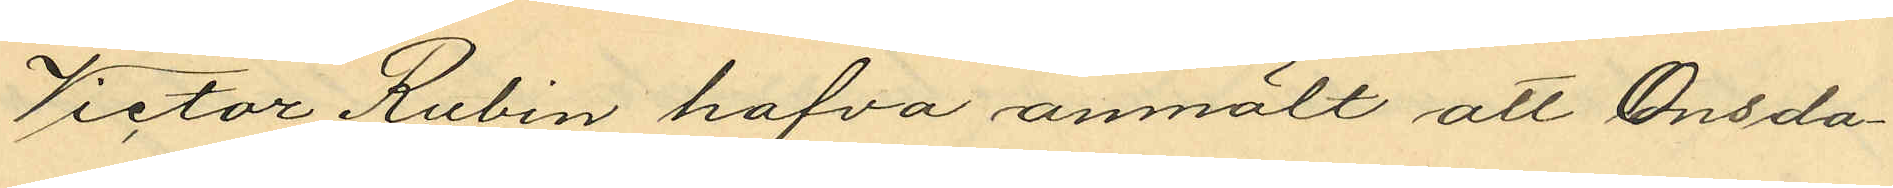Victor Rubin hafva anmält att Onsda¬
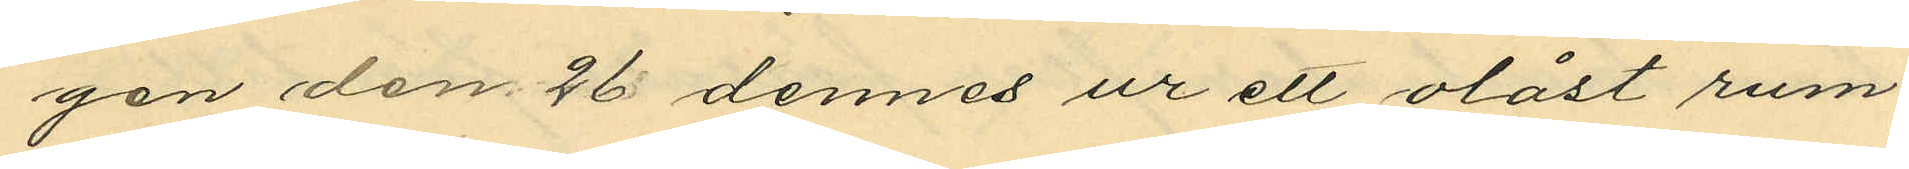gen den 26 dennes ur ett olåst rum
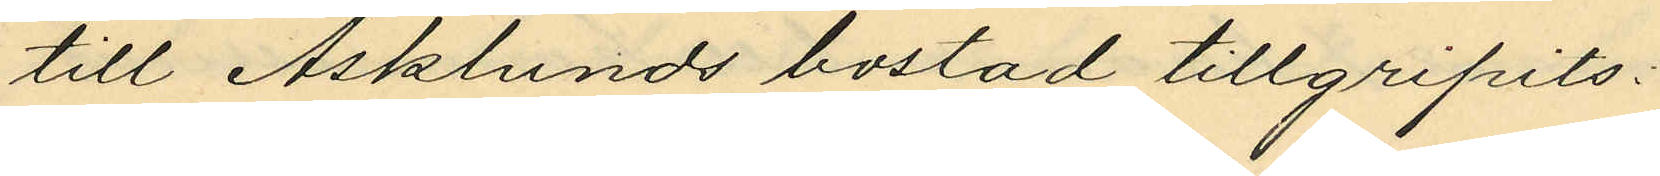till Asklunds bostad tillgripits:
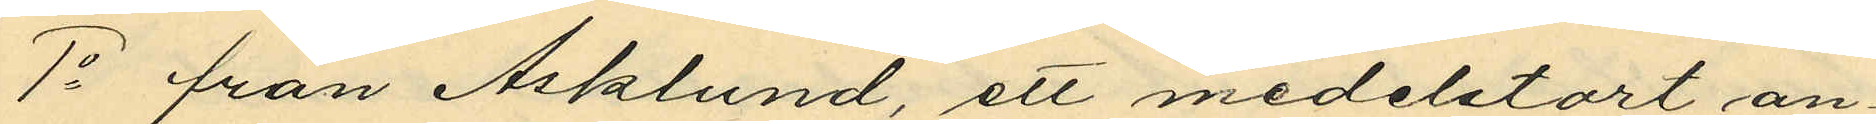1o från Asklund, ett medelstort an¬
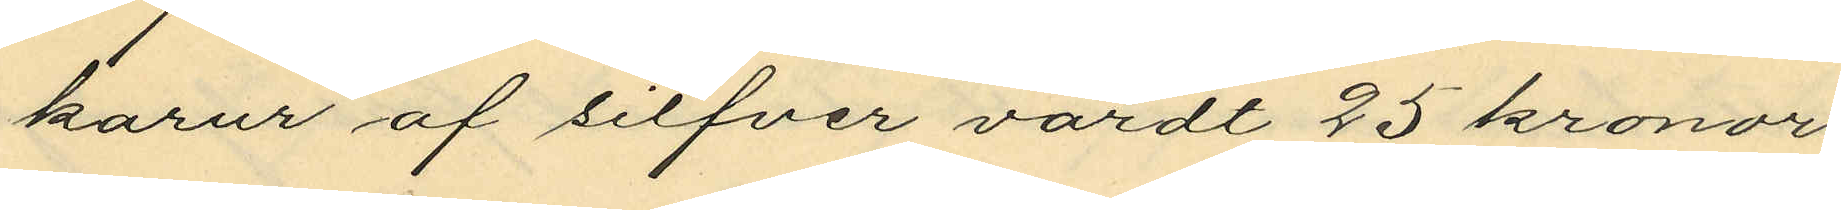karur af silfver värdt 25 kronor
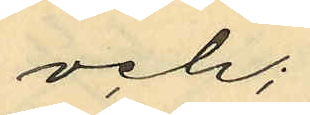och;
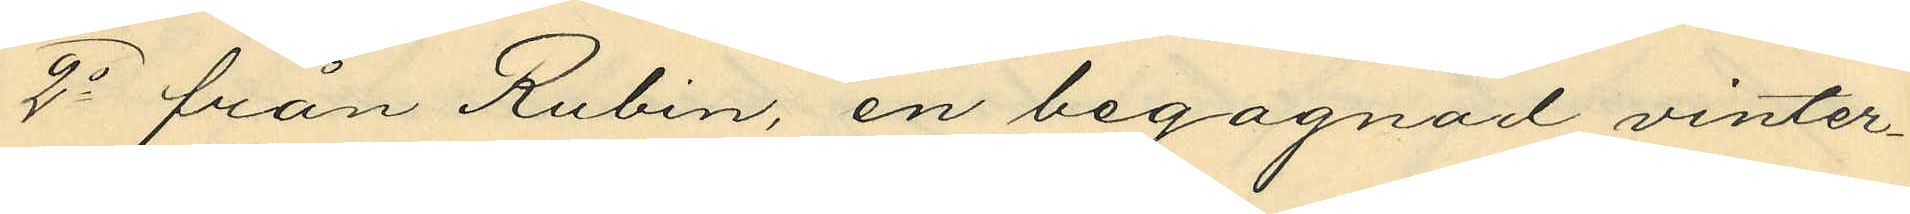2o från Rubin, en begagnad vinter¬
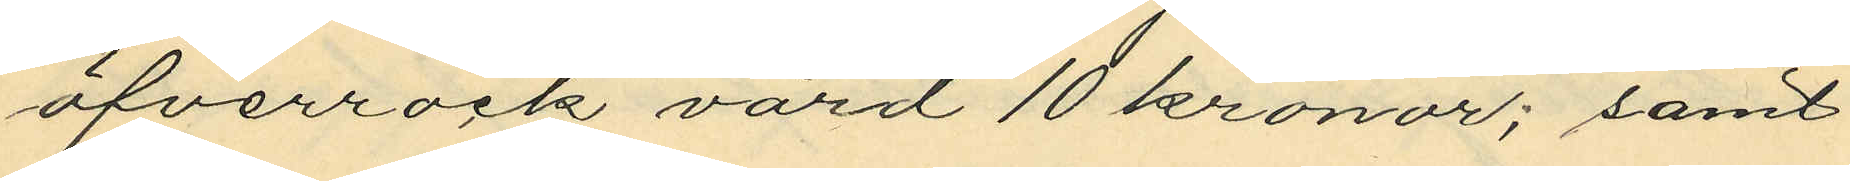öfverrock värd 10 kronor; samt
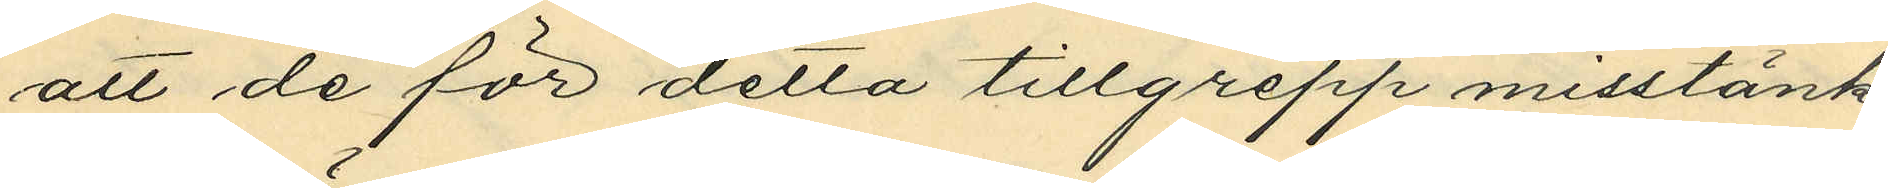att de för detta tillgrepp misstänk¬
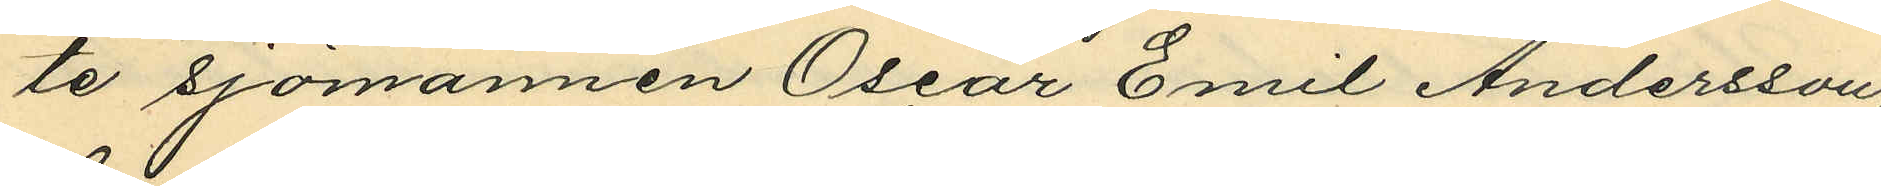te sjömannen Oscar Emil Andersson,
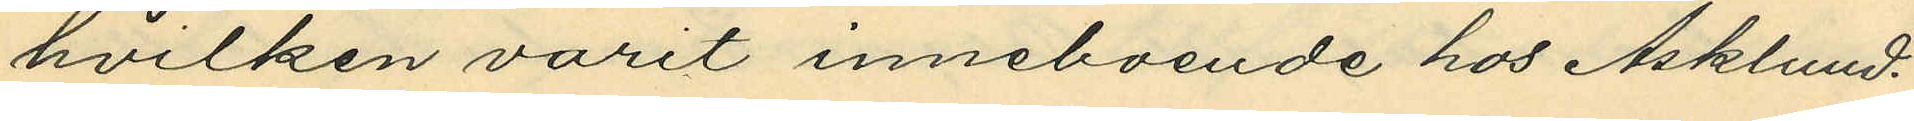hvilken varit inneboende hos Asklund.
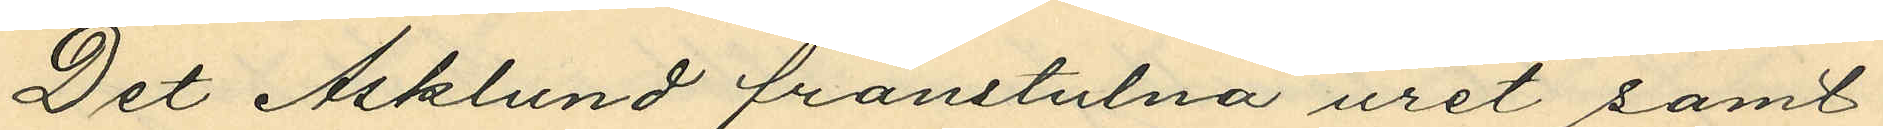Det Asklund frånstulna uret samt
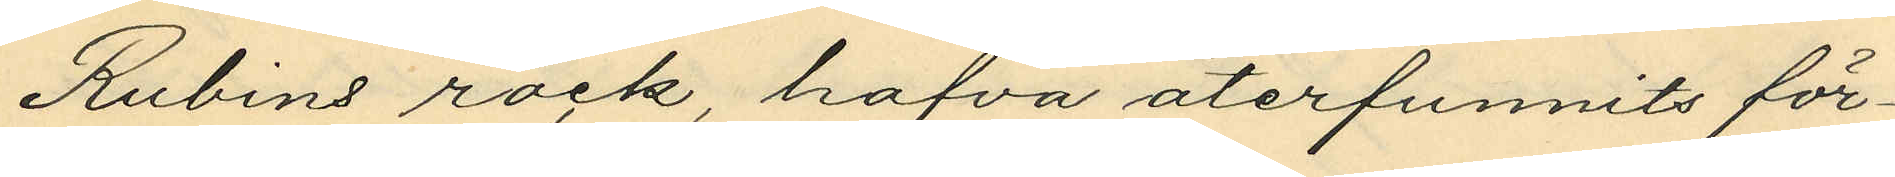Rubins rock, hafva återfunnits för¬
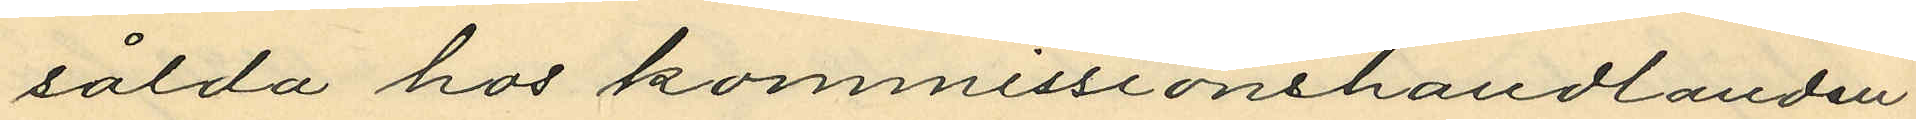sålda hos kommissionshandlanden
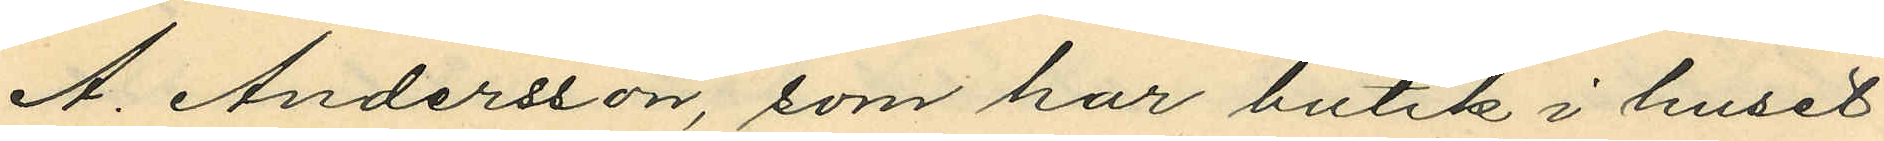A. Andersson, som har butik i huset
